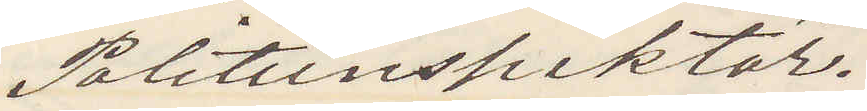Politiinspektör.
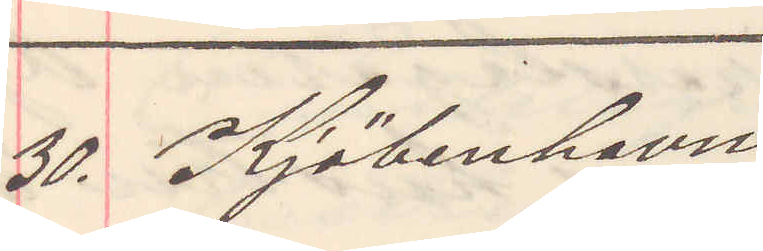30. Kjöbenhavn
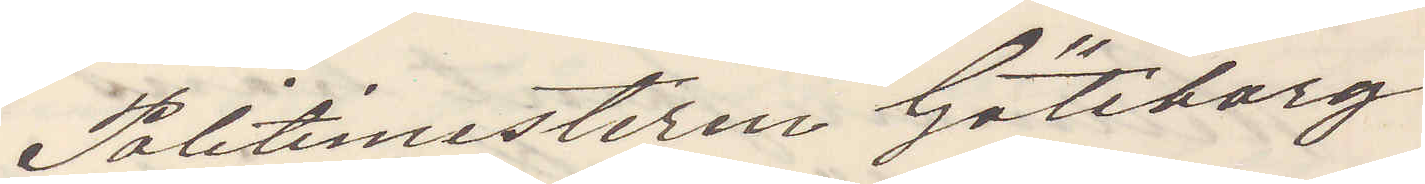Politimesteren Göteborg
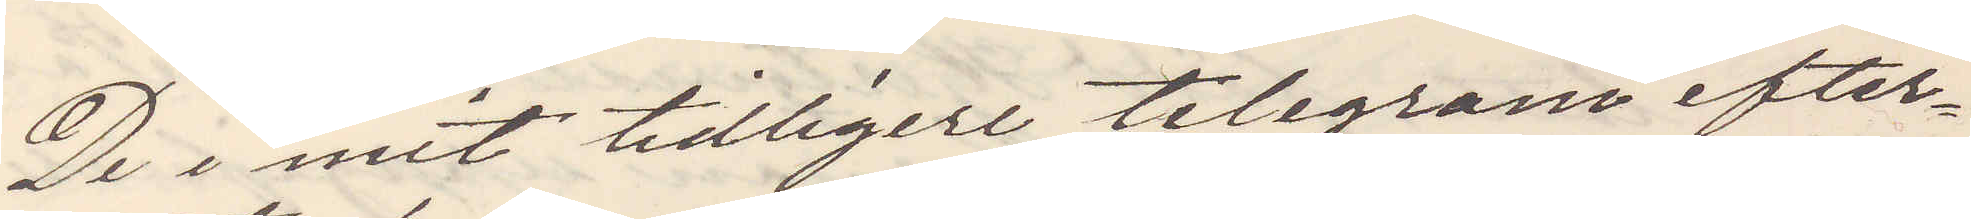De i mit tidligare telegram efter¬
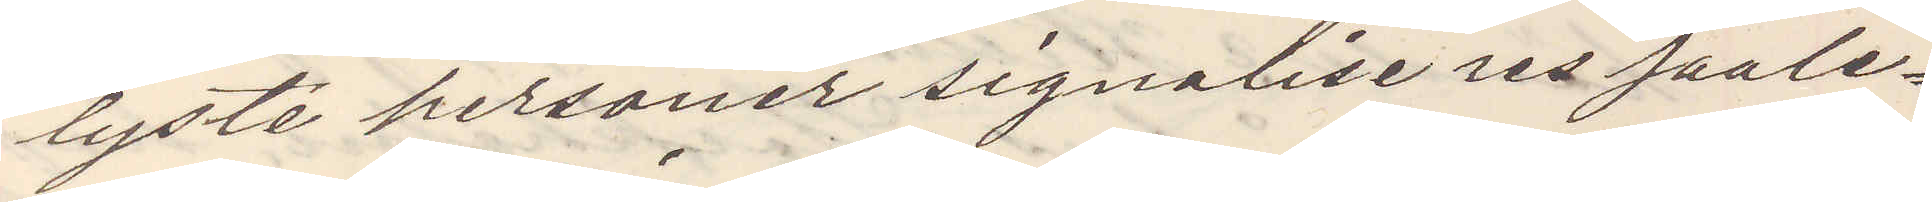lyste personer signalise res saale¬
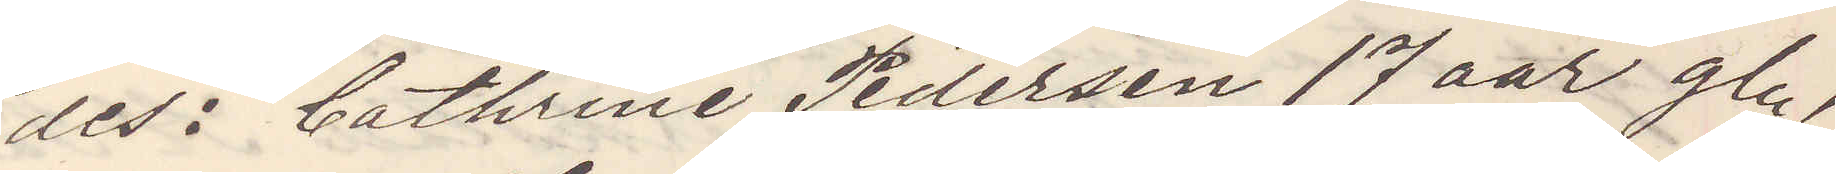des: Cathrine Pedersen 17 aar gl,
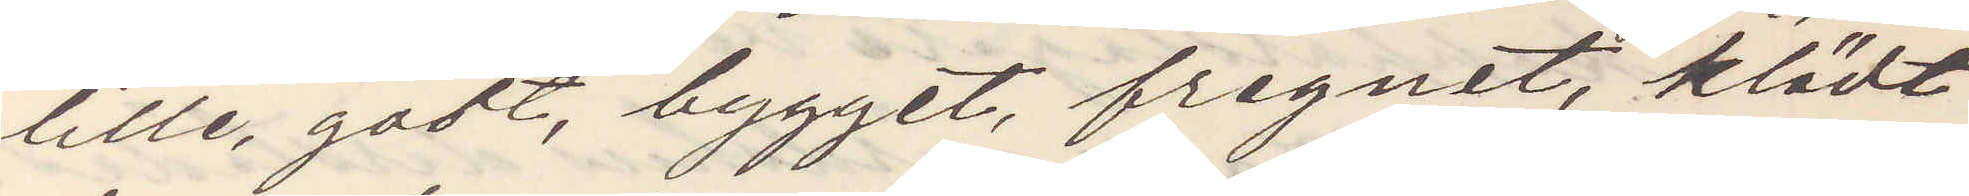lille, godt, bygget, fregnet, klädt
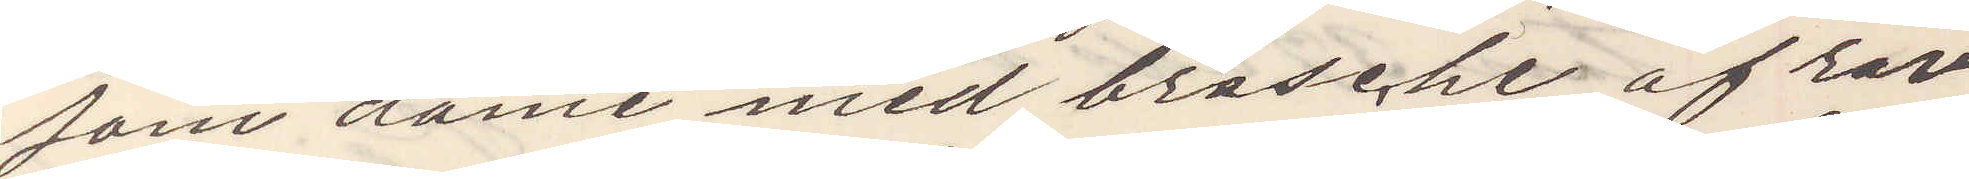som dame med brosche af rav
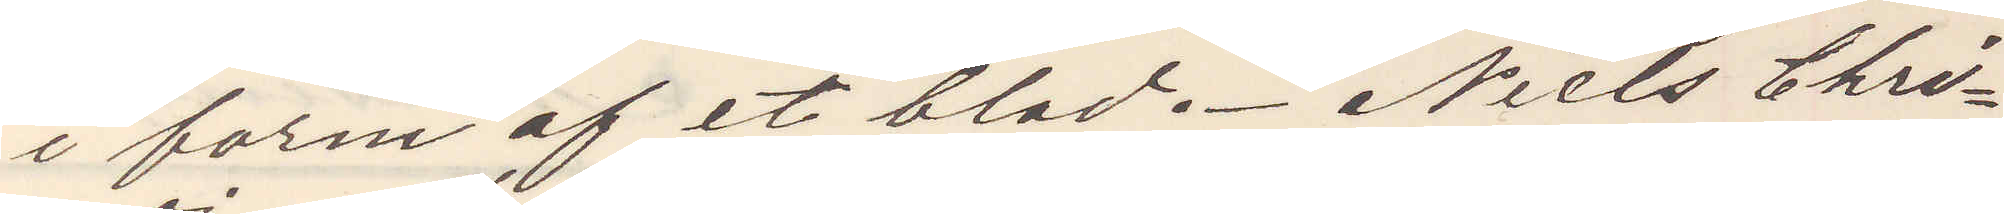i form af et blad. Niel Chri¬
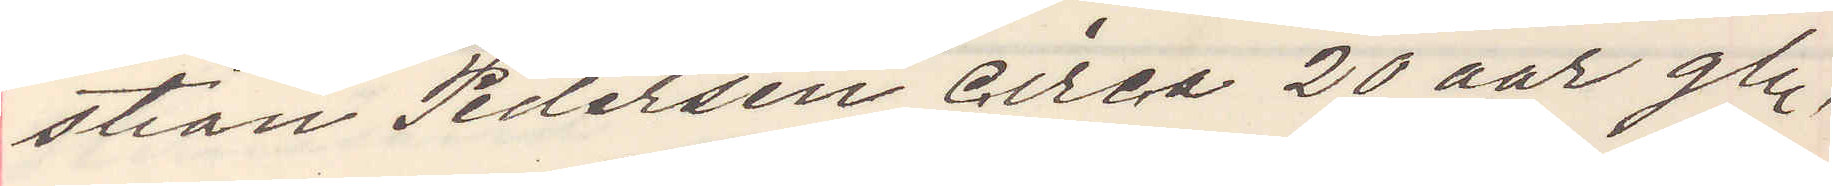stian Pedersen circa 20 aar gl,
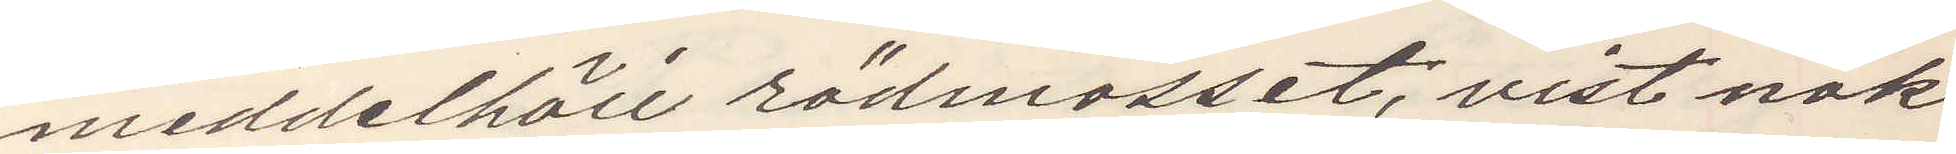meddelhöii rödmosset, vist nok
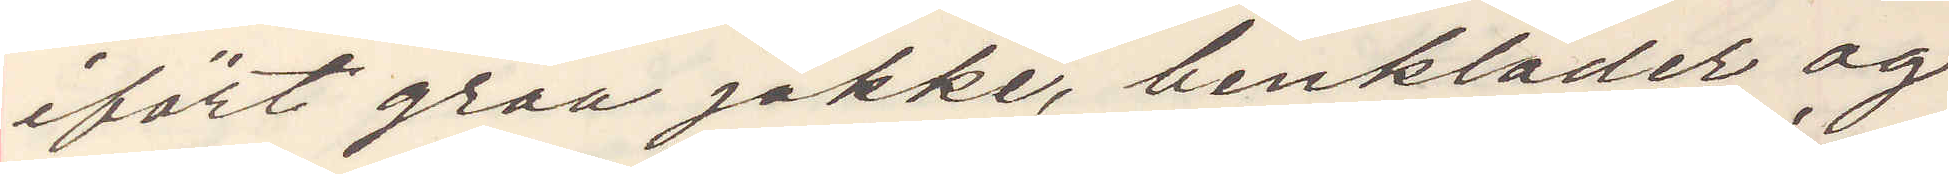ifört graa jakke, benkläder og
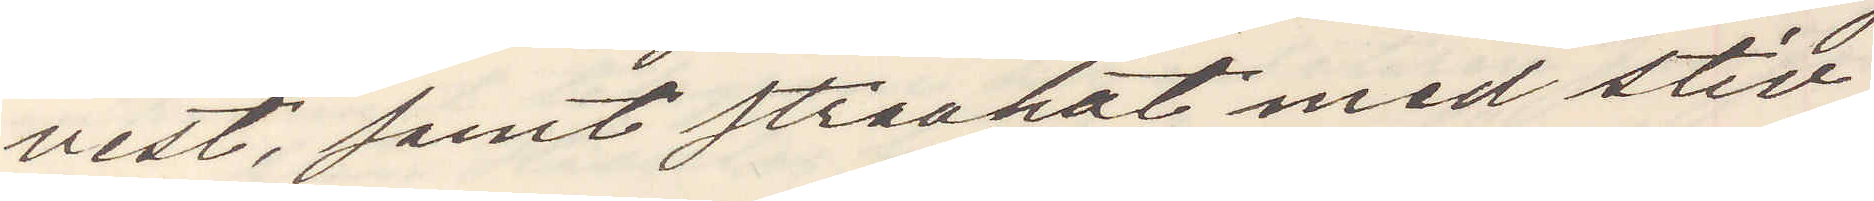vest, samt straahat med stiv
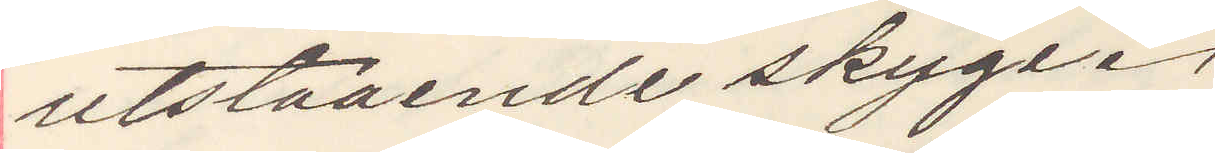utstaaende skyge
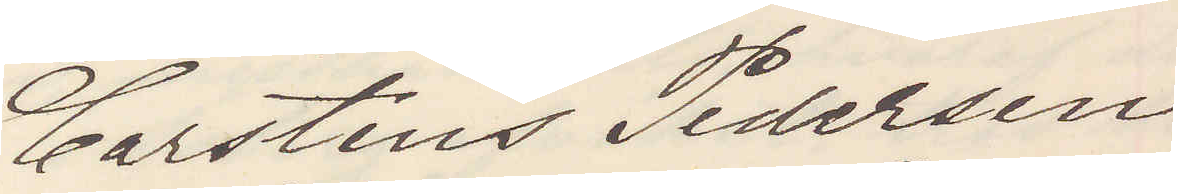Carsten Pedersen
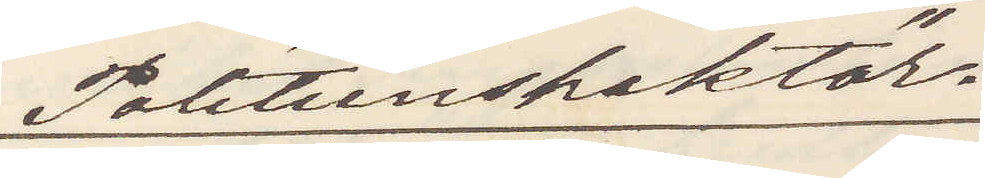Politiinspektör.
